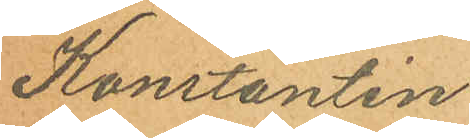Konstantin
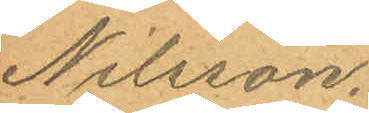Nilsson.
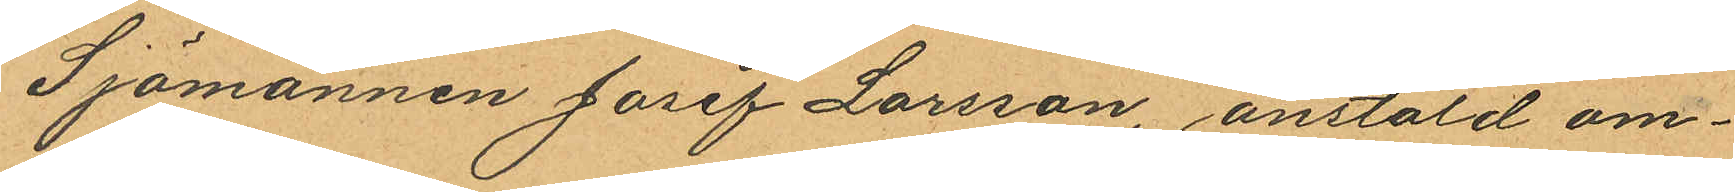Sjömannen Josef Larsson, anstäld om¬
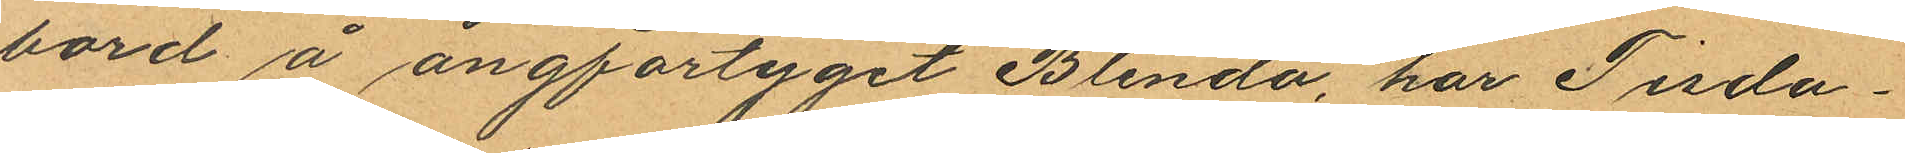bord å ångfartyget Blenda, har Tisda¬
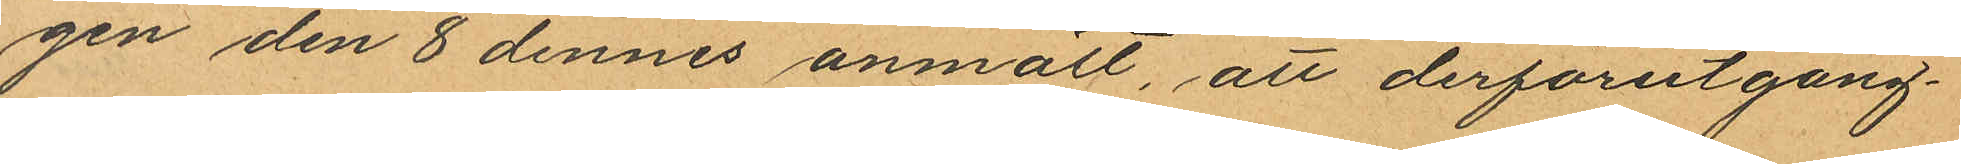gen den 8 dennes anmält, att derförutgång¬
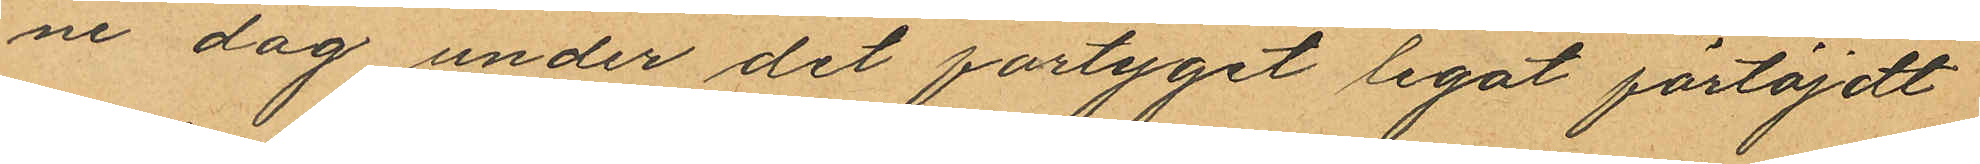ne dag under det fartyget legat förtöjdt
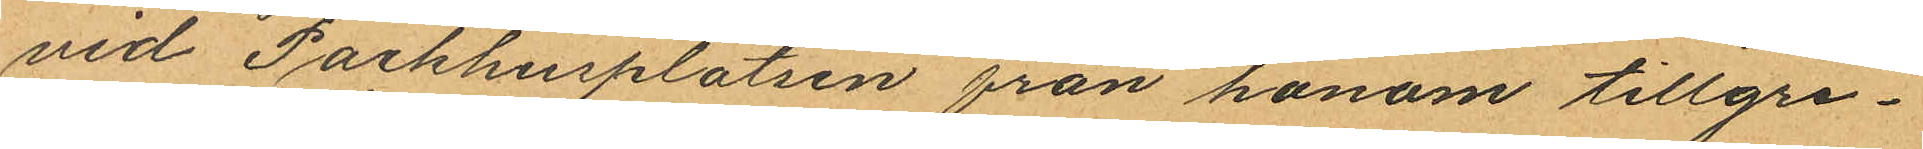vid Packhusplatsen från honom tillgri¬
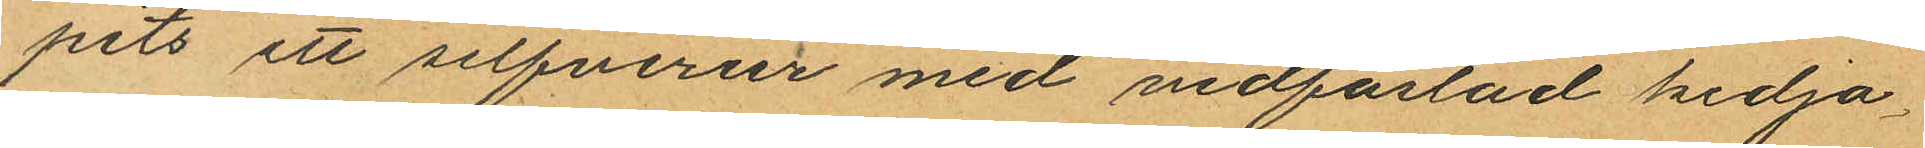pits ett silfverur med vidfästad kedja
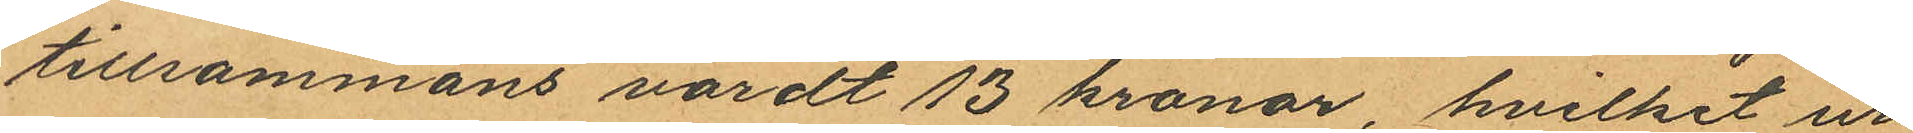tillsammans värdt 13 kronor, hvilket ur
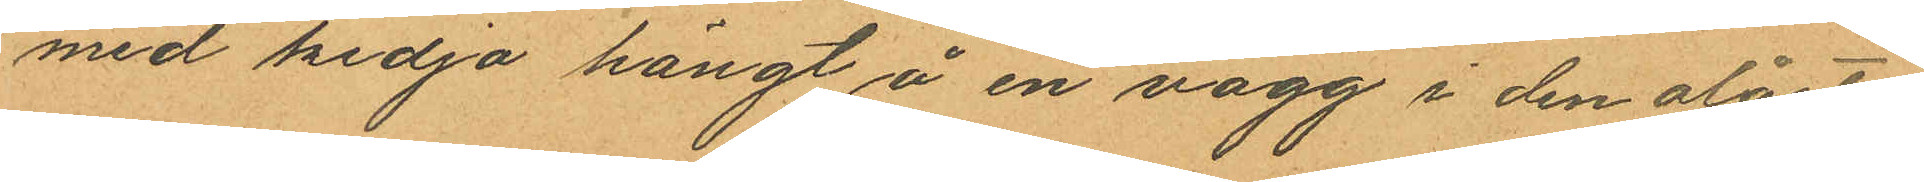med kedja hängt å en vägg i den olåsta
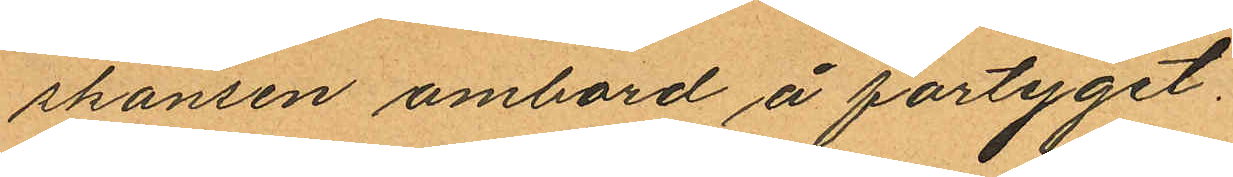skansen ombord å fartyget.
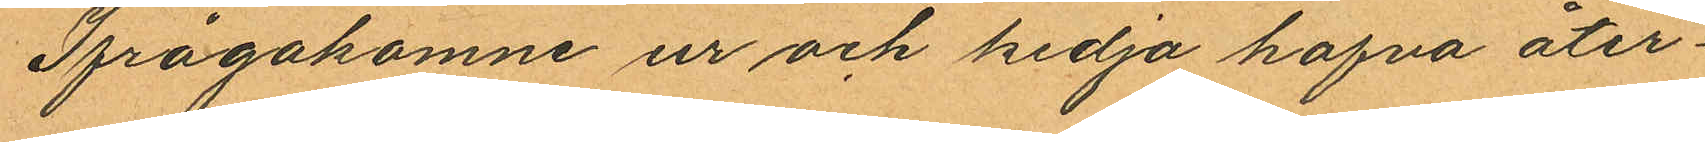Ifrågakomne ur och kedja hafva åter¬
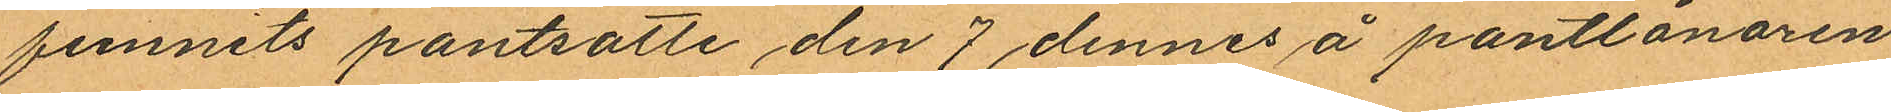funnits pantsatte den 7 dennes å pantlånaren
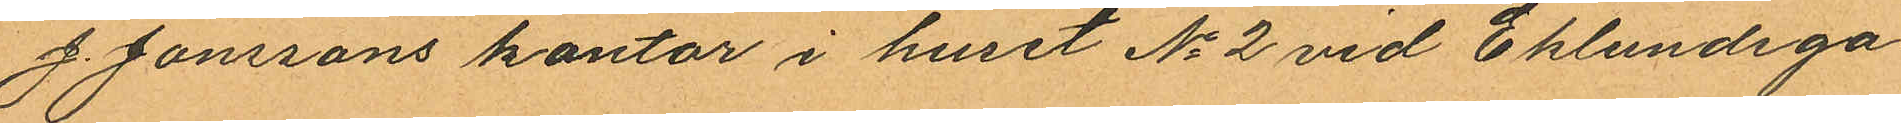J. Jonssons kontor i huset No 2 vid Eklundsga¬
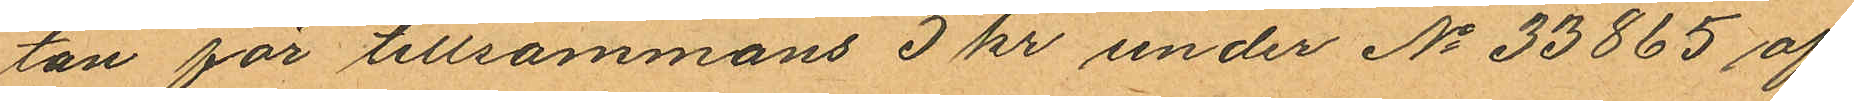tan för tillsammans 5 kr under No 33865 af
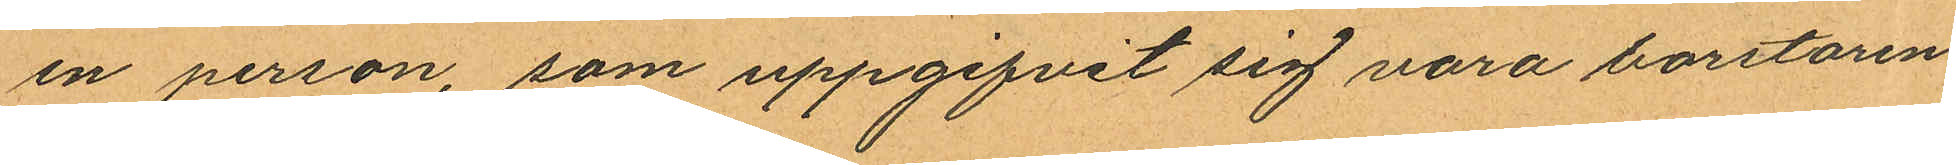en person, som uppgifvit sig vara borstaren
